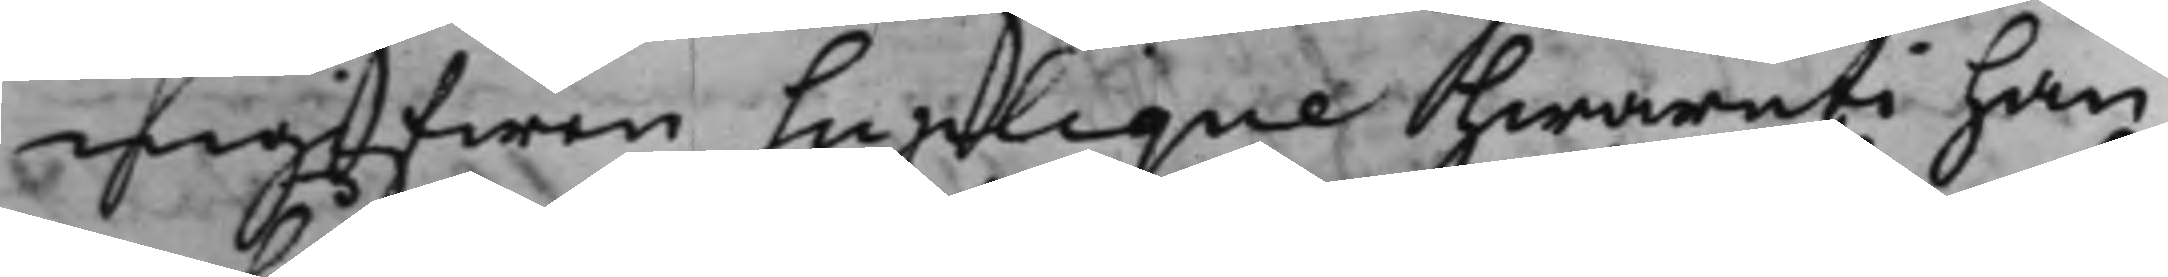ingifwen Suplique hwaruti han
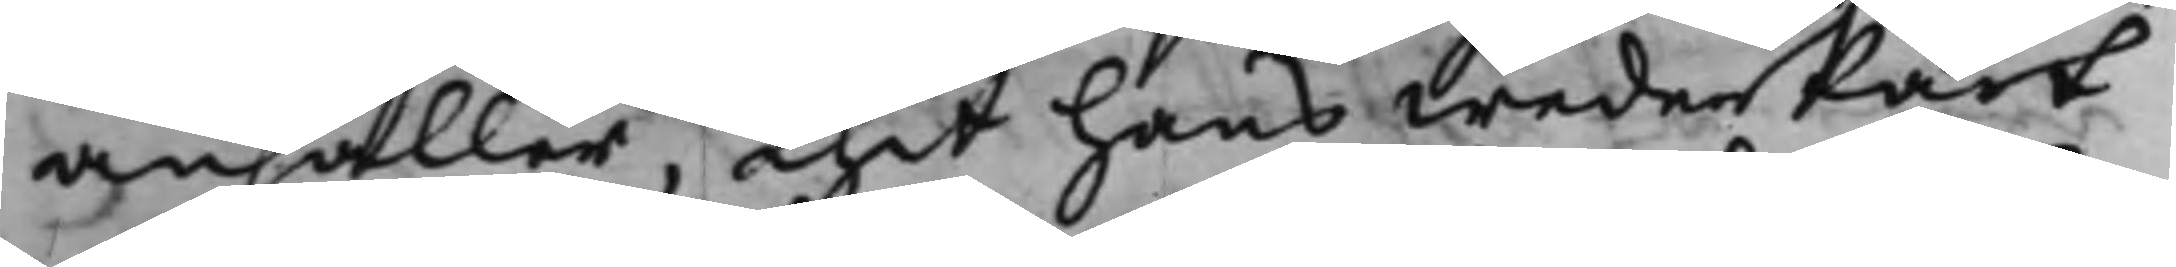anhåller, thet hans wederPart
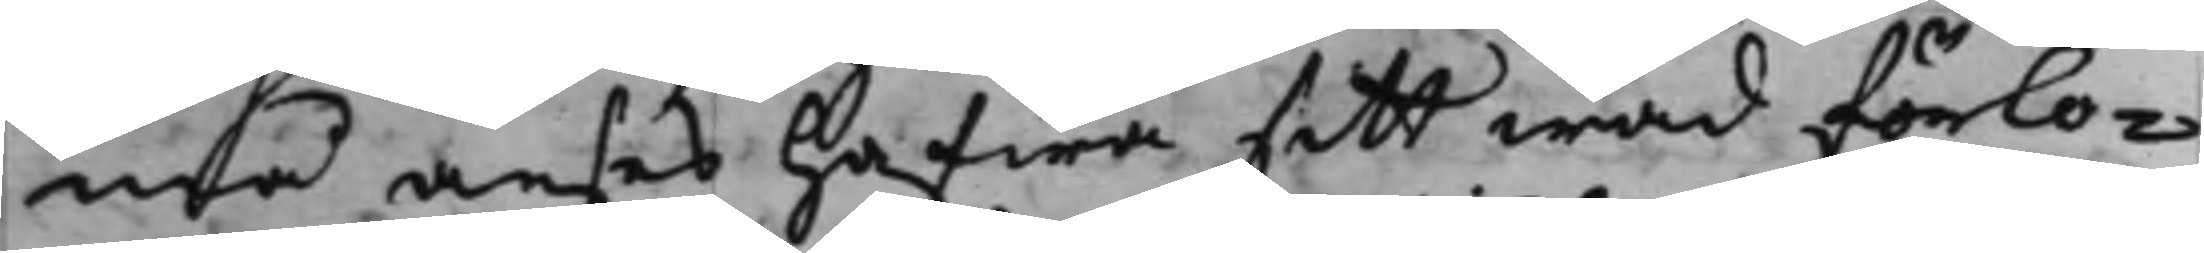må anses hafwa sitt wad förlo¬
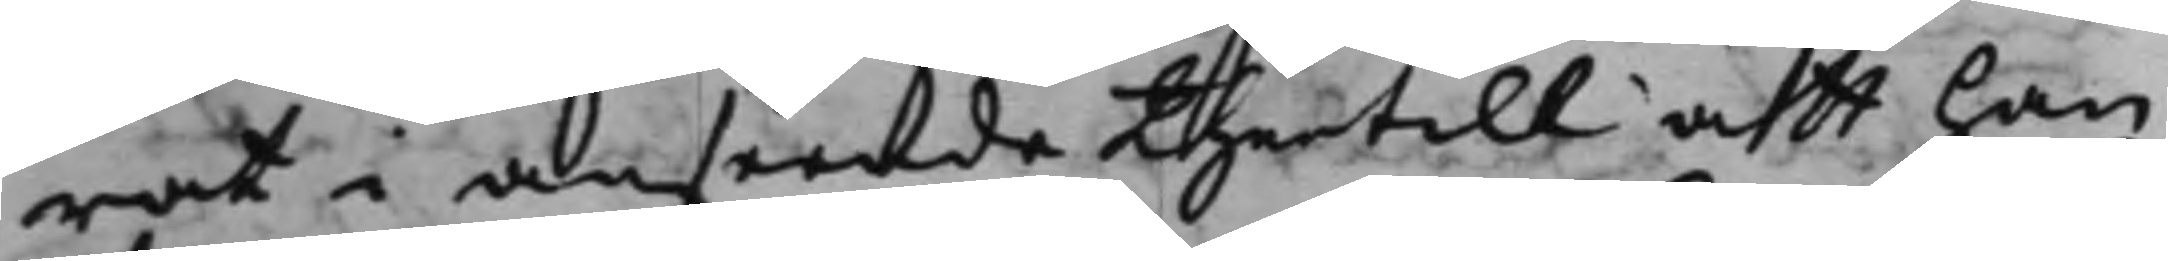rat i anseende thertill att han
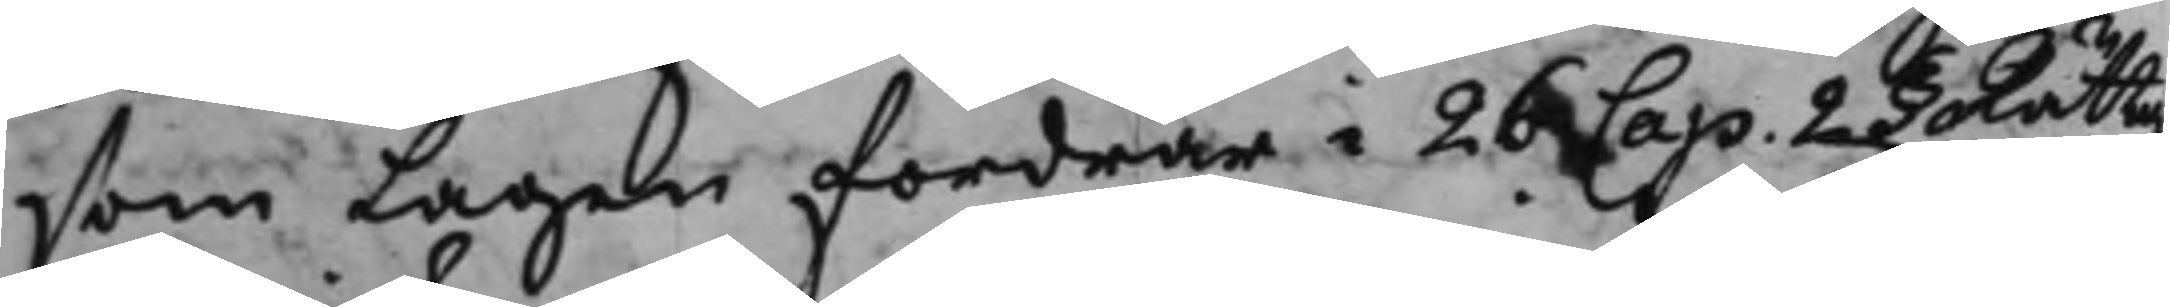som Lagen fordrar i 26 Cap. 2 § Rättg¬
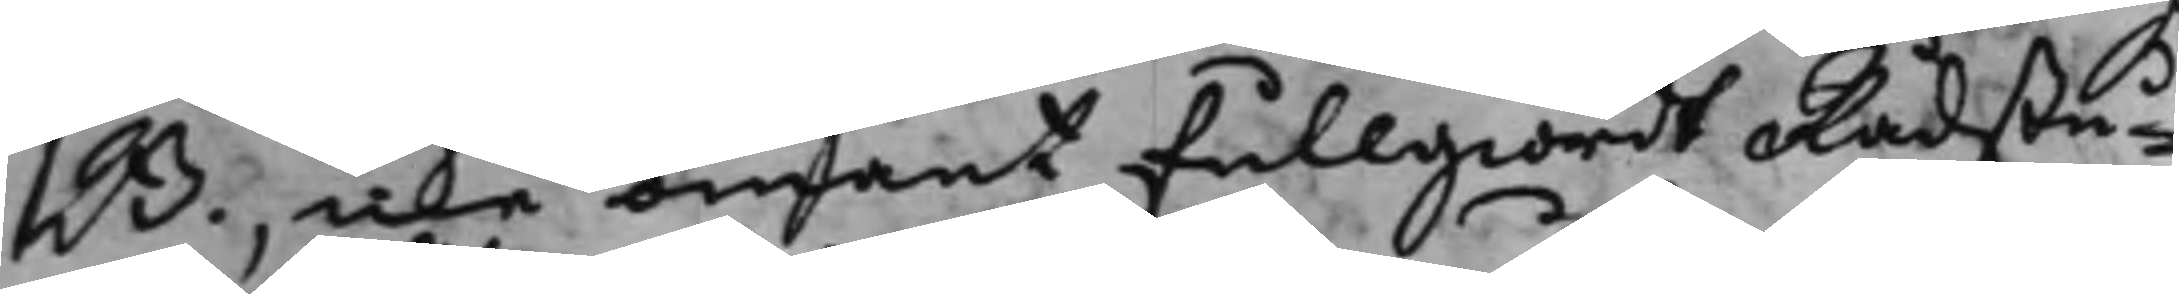B., icke omant fullgiordt Rådstu¬
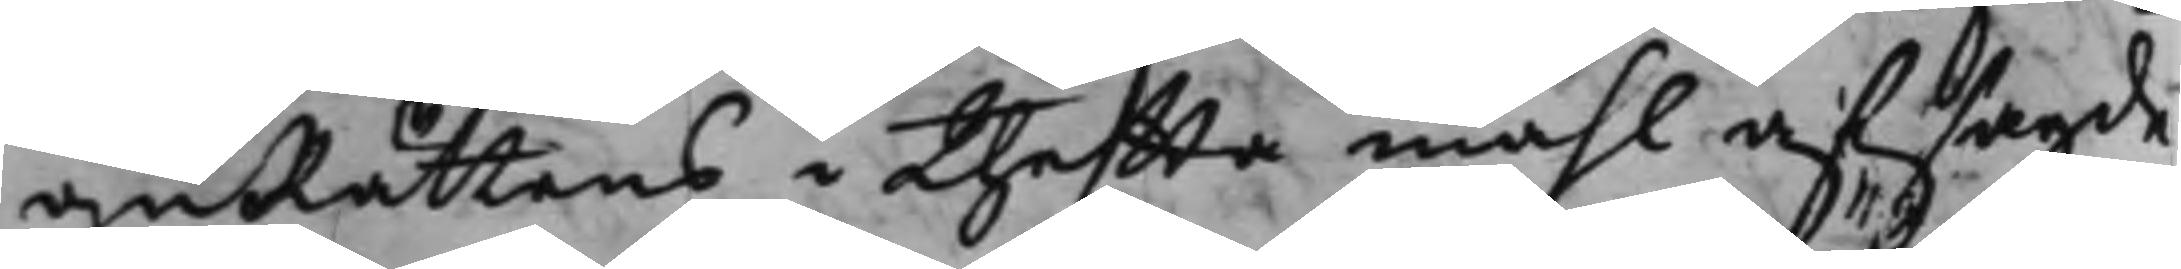guRättens i thetta måhl afsagde
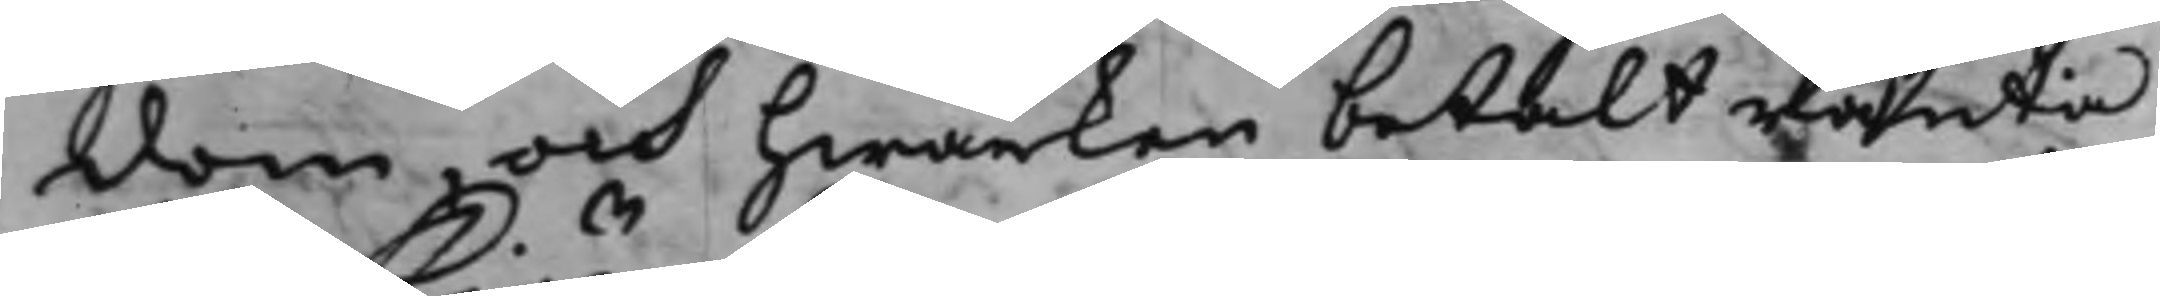dom, och hwarken betalt ränta
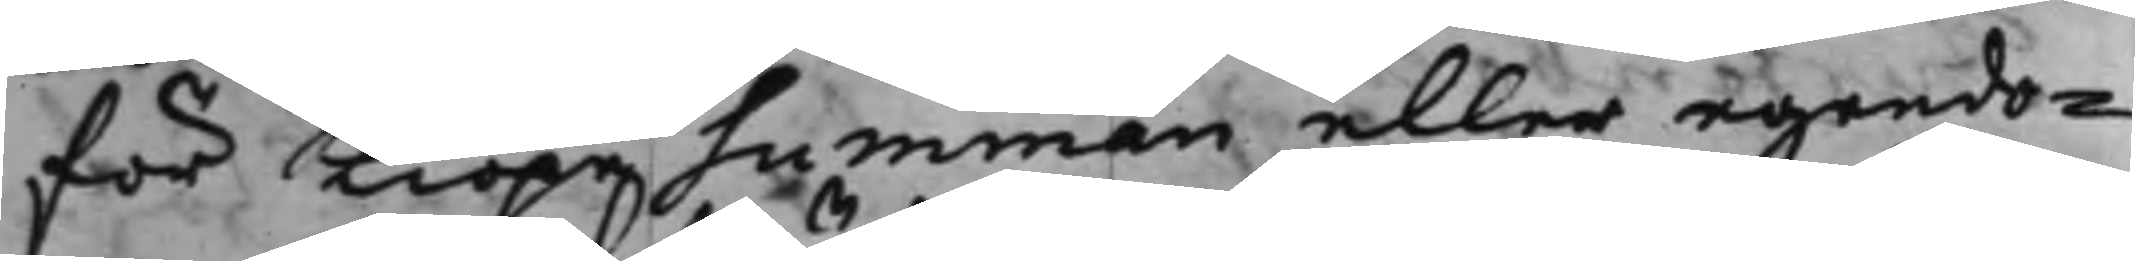för Kiöpesumman eller egendo¬
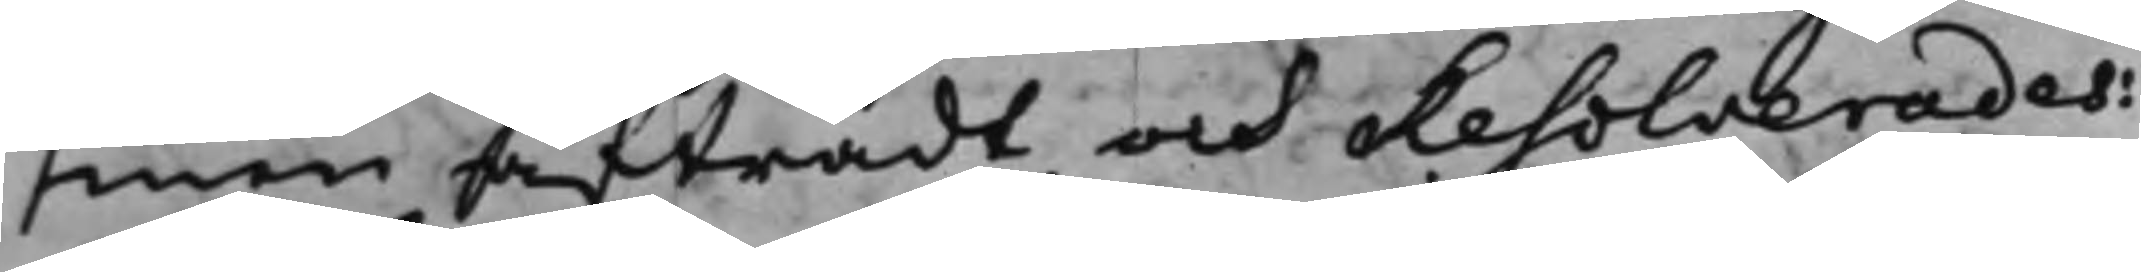men afträdt, och Resolverades:
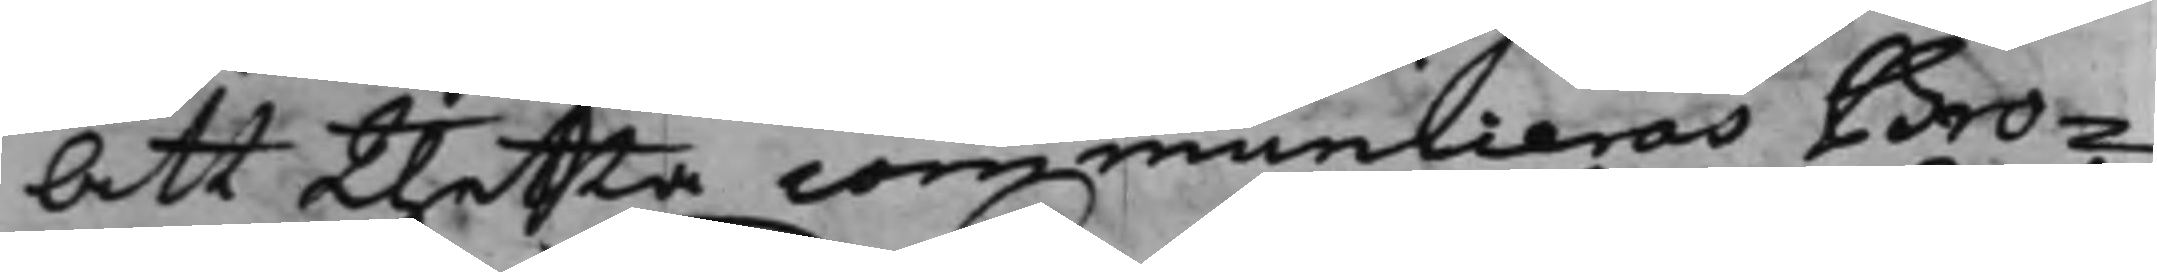Att thetta communiceras Bro¬
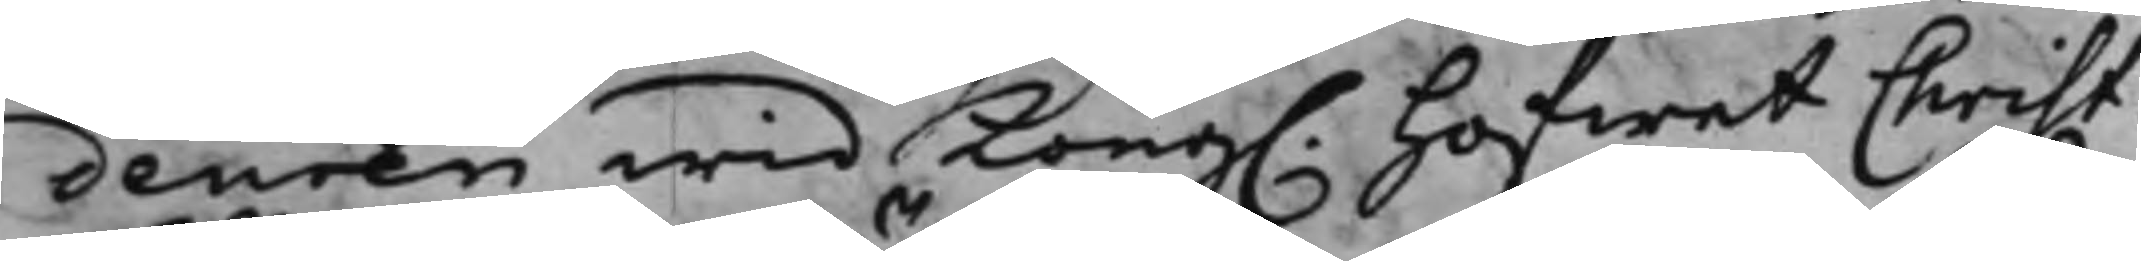deuren wid Kong. Hofwet Christ:
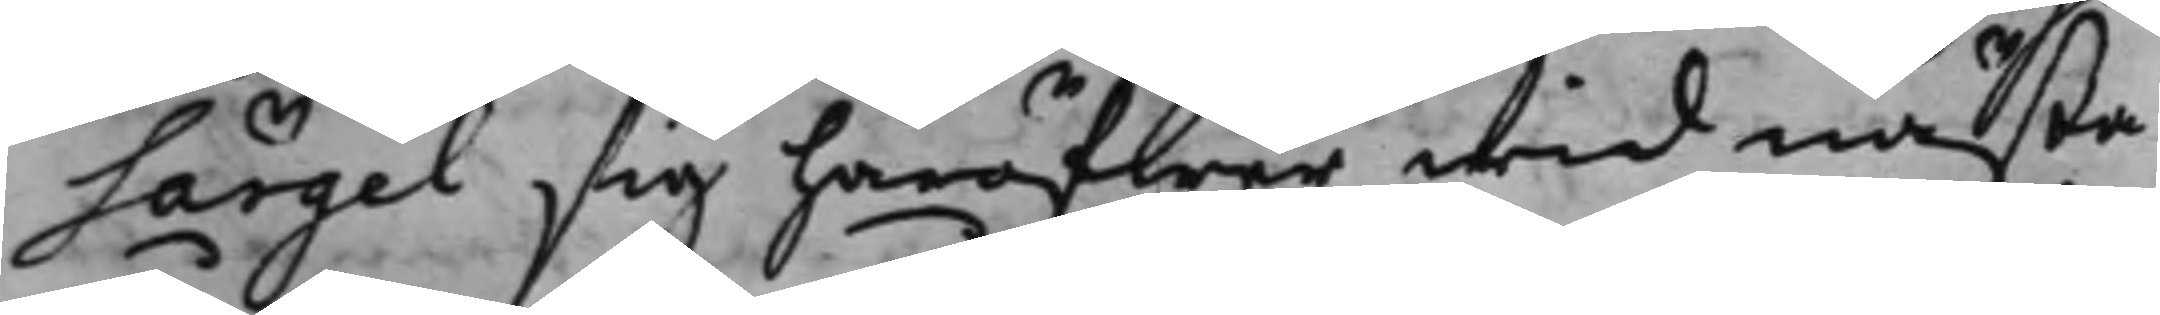Särgel sig häröfwer wid nästa
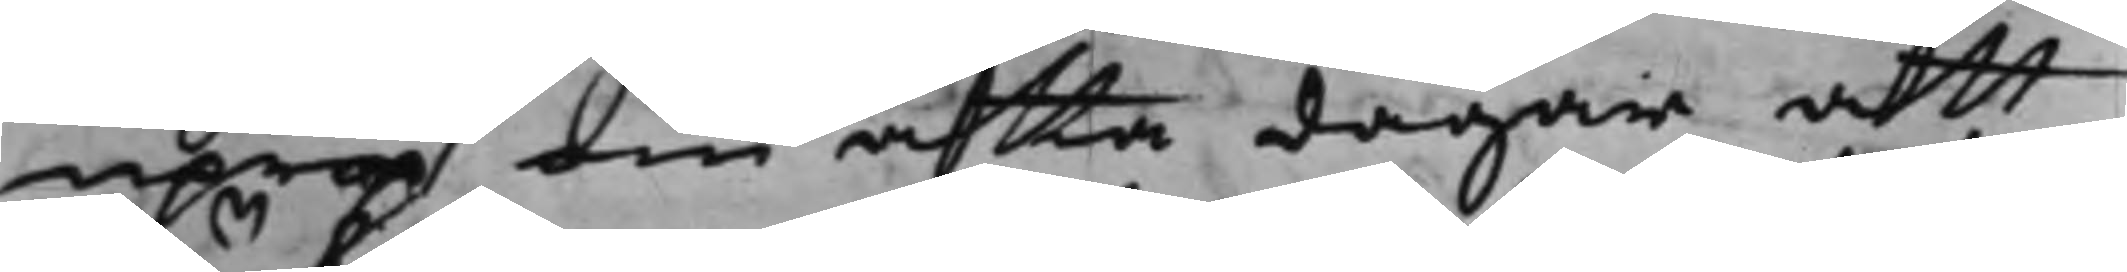uprop om åtta dagar att
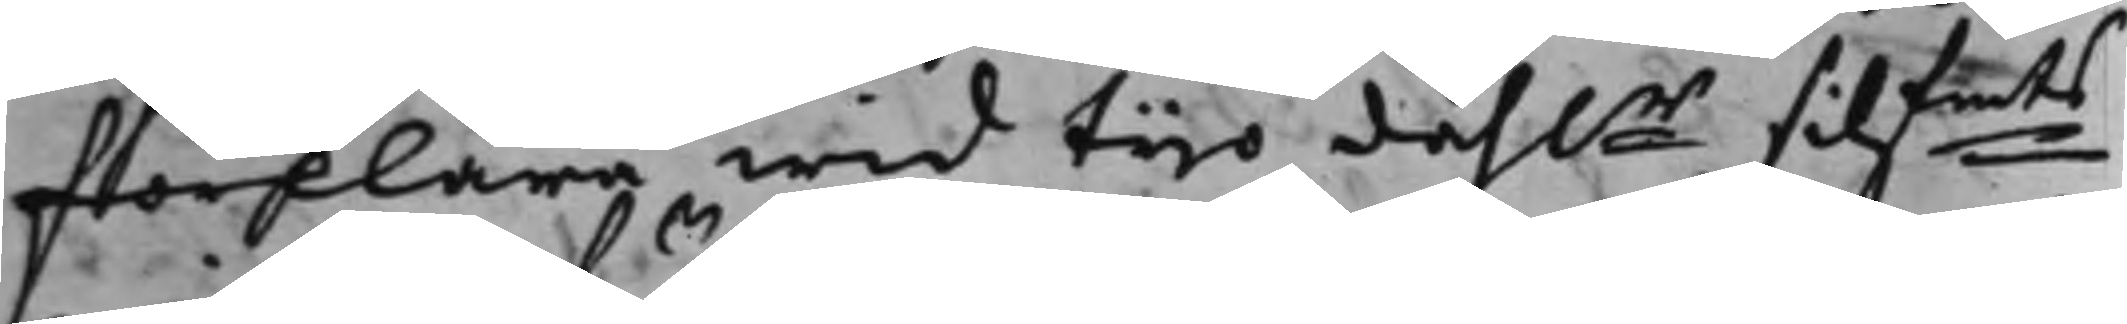förklara wid tijo dahlr silfmts
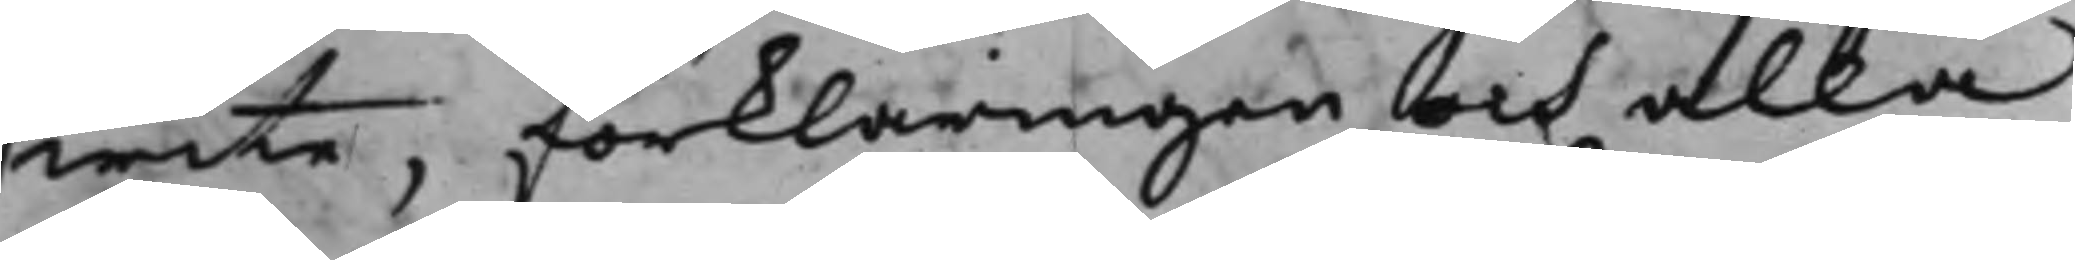wite, förklaringen och alla
